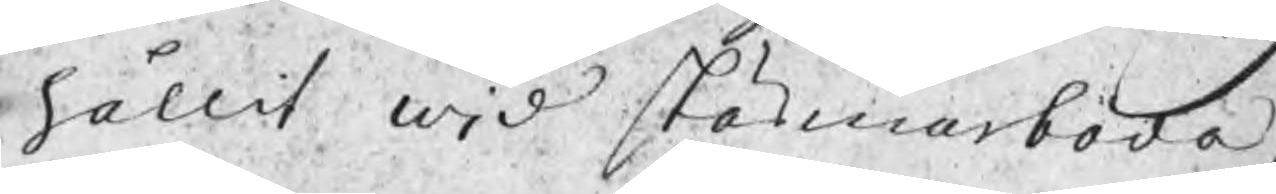hållit wid Skärmarboda,
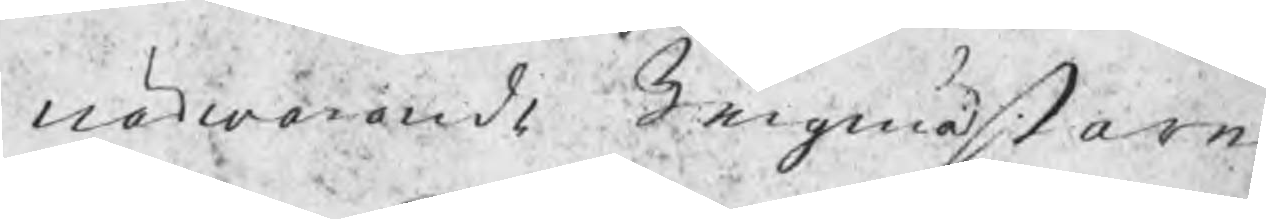närvarande Bergmästaren
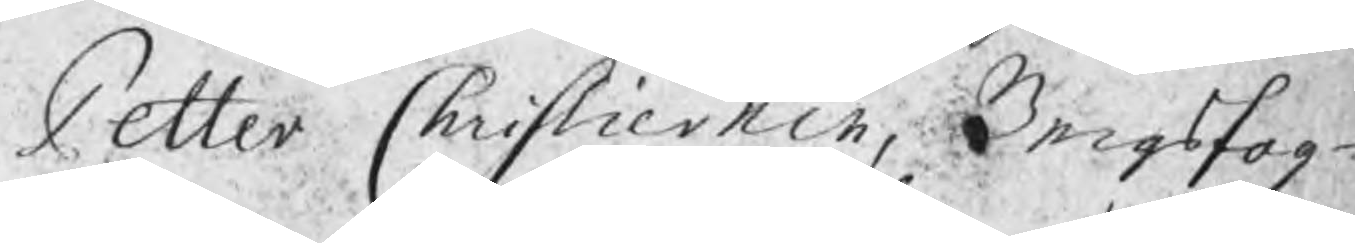Petter Christiernin, Bergsfog¬
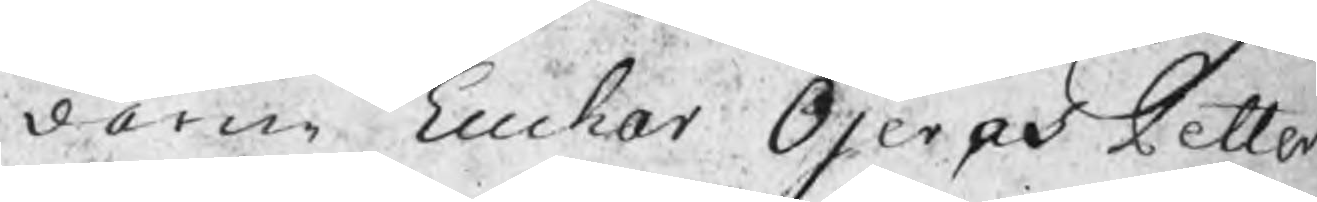darne Euchar Öjer och Petter
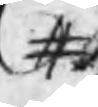#
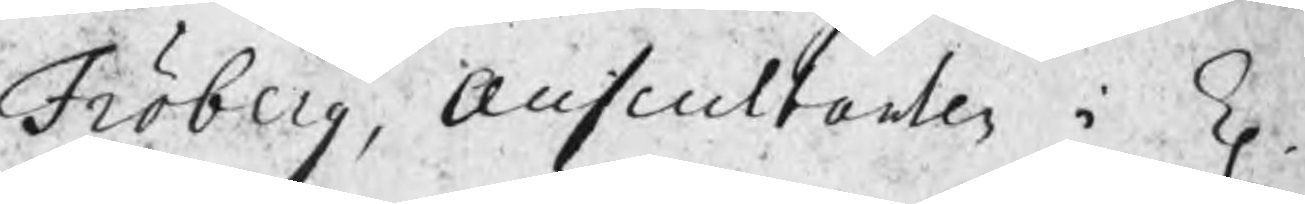Fröberg, auscultanten i K
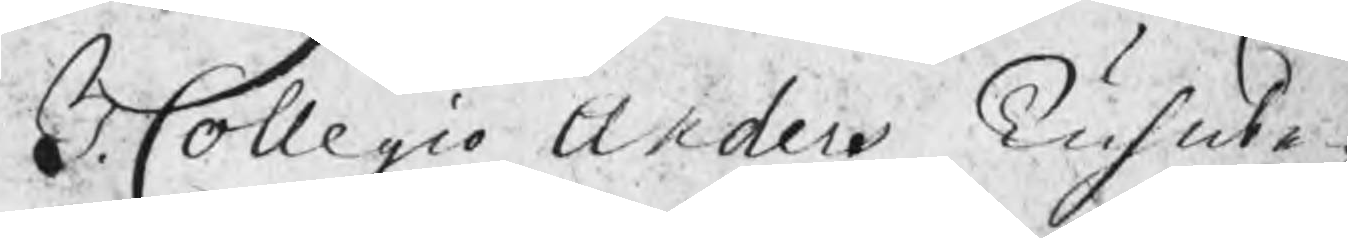B. Collegio Anders Gus
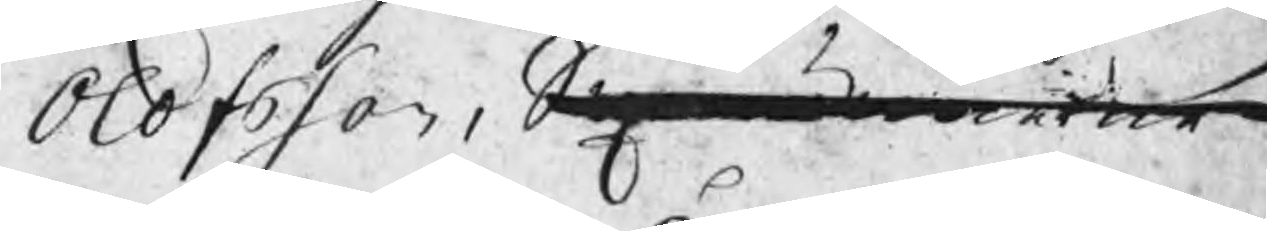Olofsson, Sexmännerne
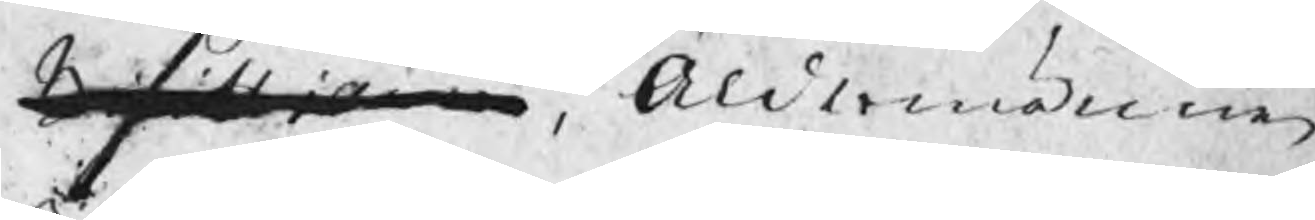Bisittiarne, Åldermännen
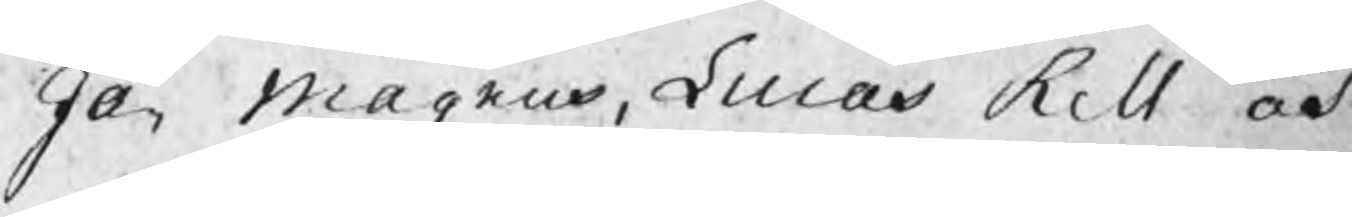Jan Magnus, Lucas Rell och
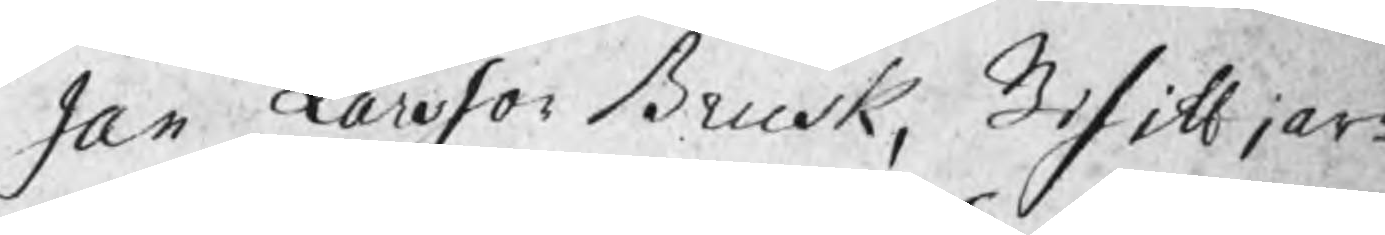Jan Larsson Brusk, Bisittiar¬
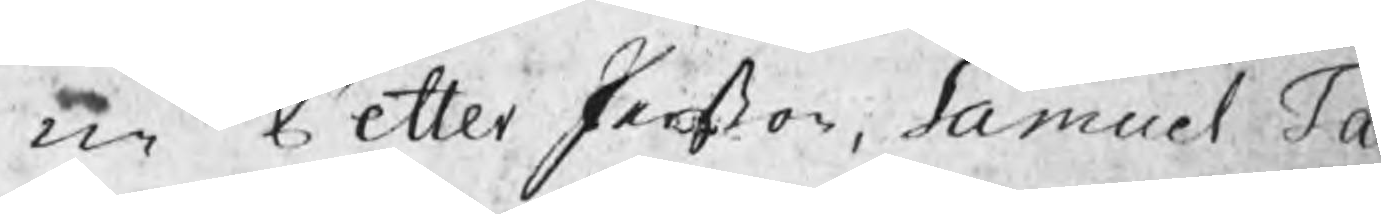ne Petter Perßon, Samuel Ta
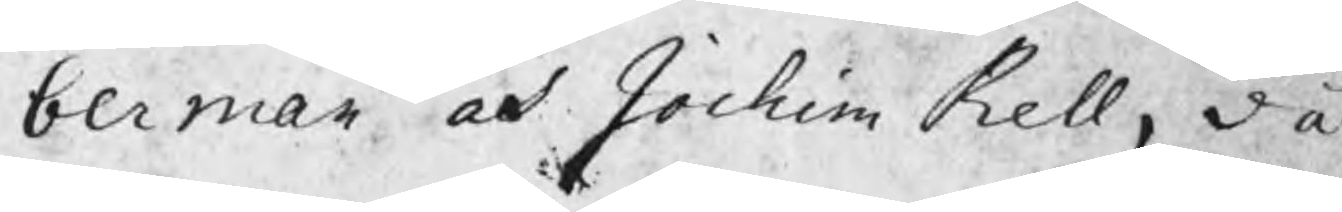berman och Jochim Rell, då
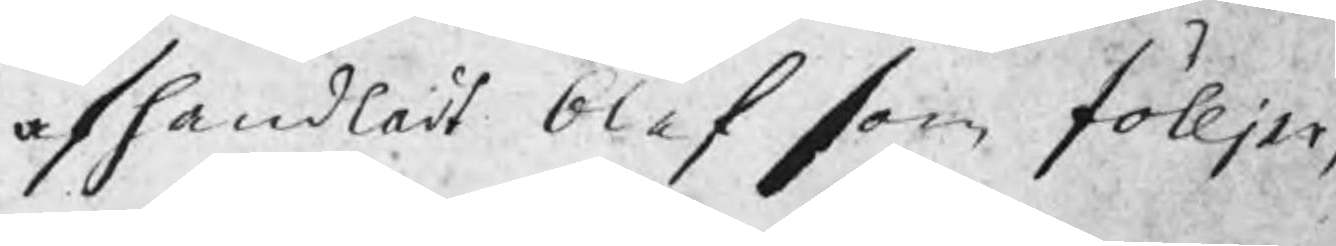afhandladt blef som fölljer,
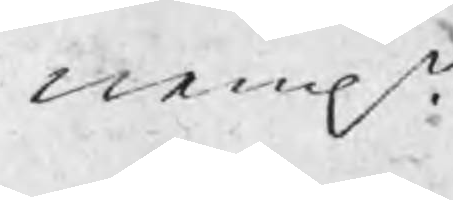nemln.
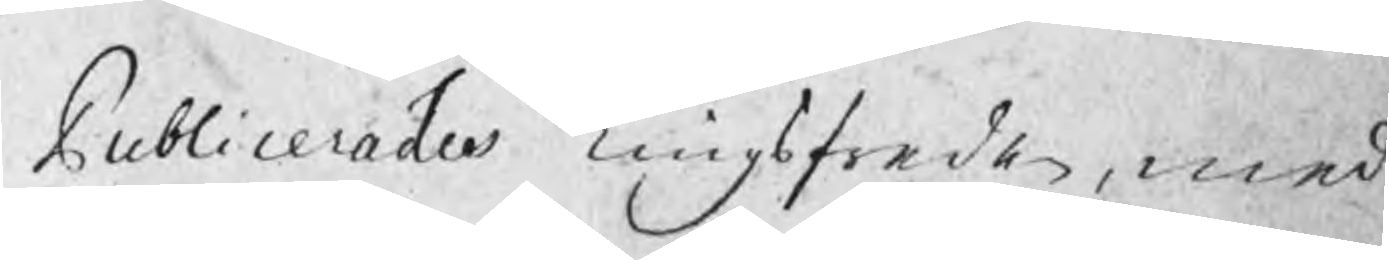Publicerades Tingsfreden, med 
